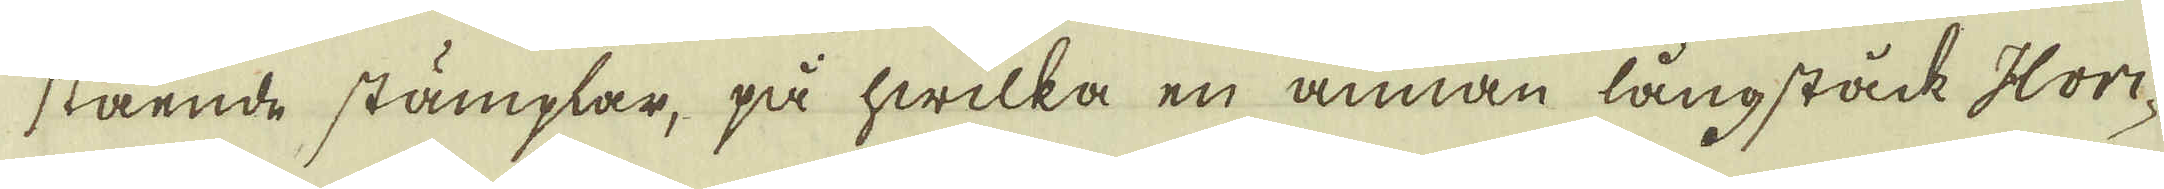stående stämplar, på hwilka en annan långstäck Hori-
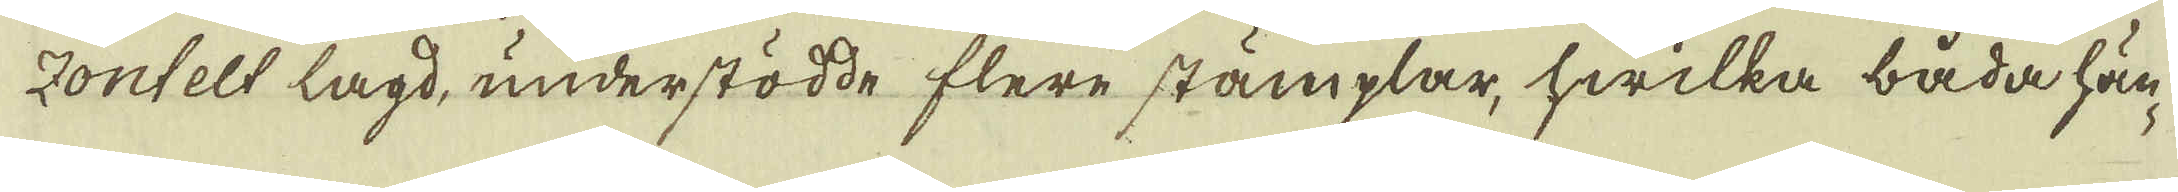zontelt lagd, understödde flere stämplar, hwilka båda hän-
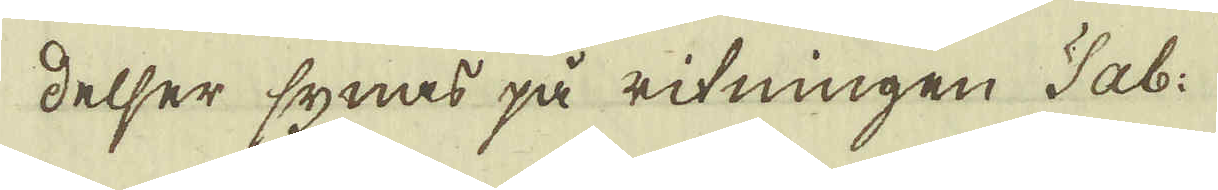delser synas på ritningen Tab.
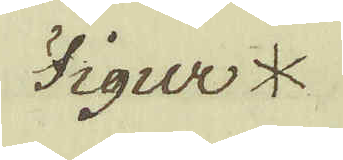Figur *
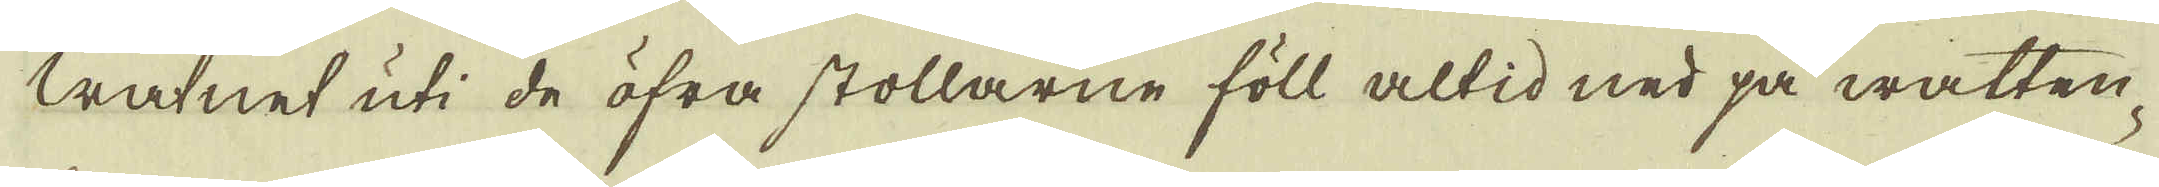Watnet uti de öfra stollarne föll altid ned på watten-
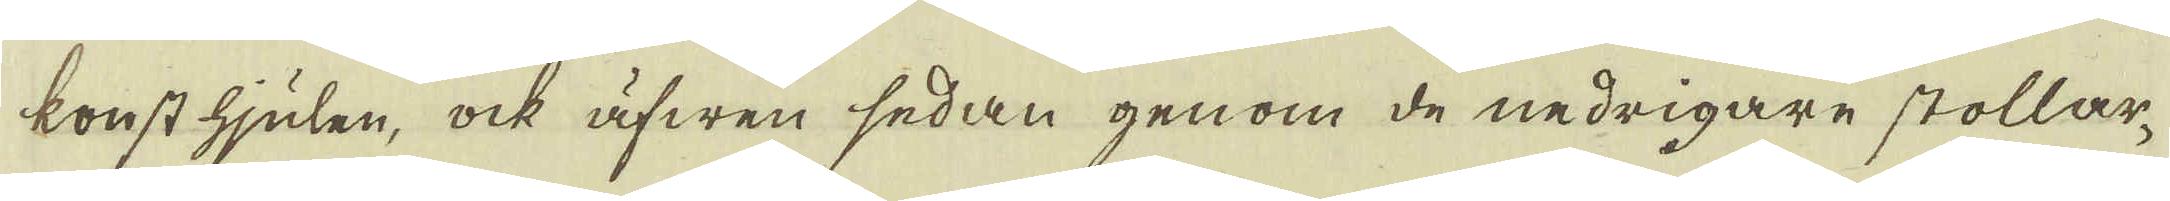konst hjulen, ock äfwen sedan genom de nedrigare stollar-
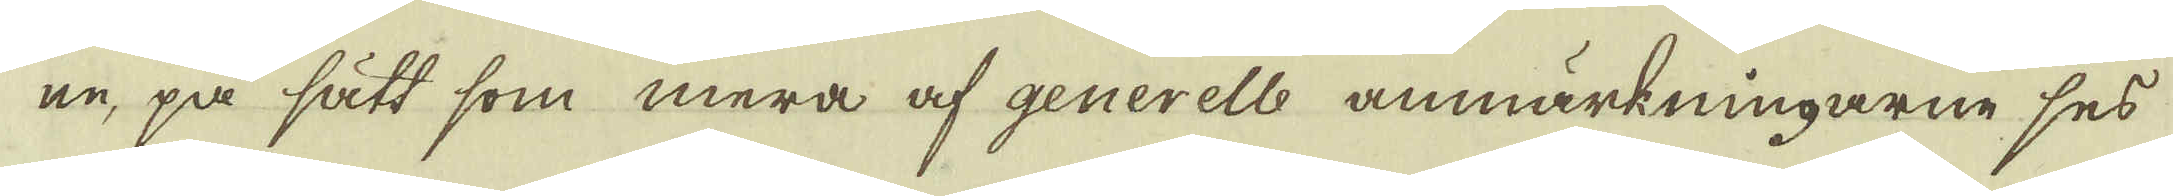ne, på sätt som mera af generelle anmärkningarne ses
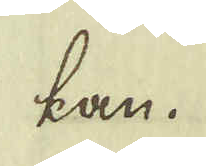kan.
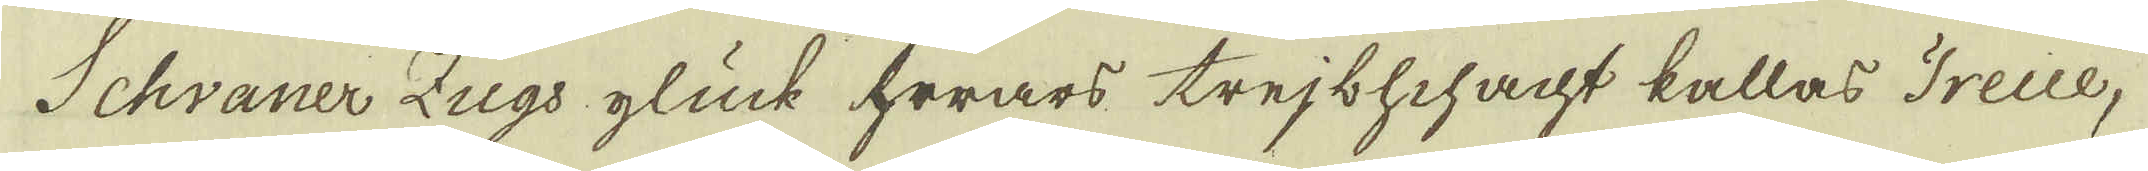Schvaner Zugs glück hwars trejbschacht kallas Freue,
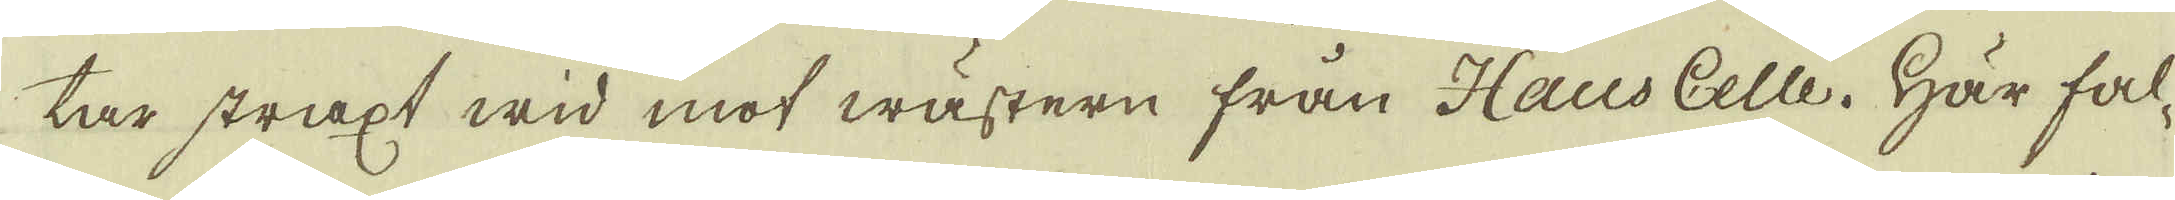tar straxt wid mot wästern från Haus Celle. Här fal-
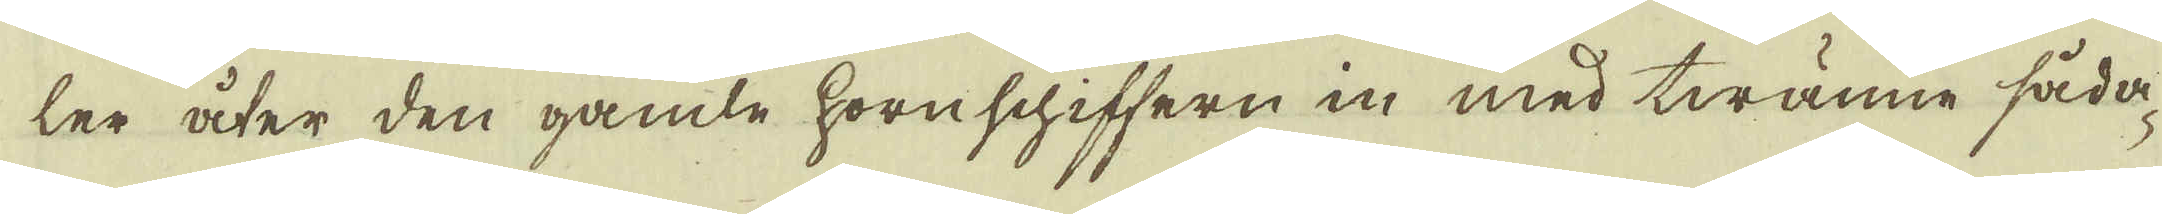ler åter den gamle hornschiffern in med twänne såda-
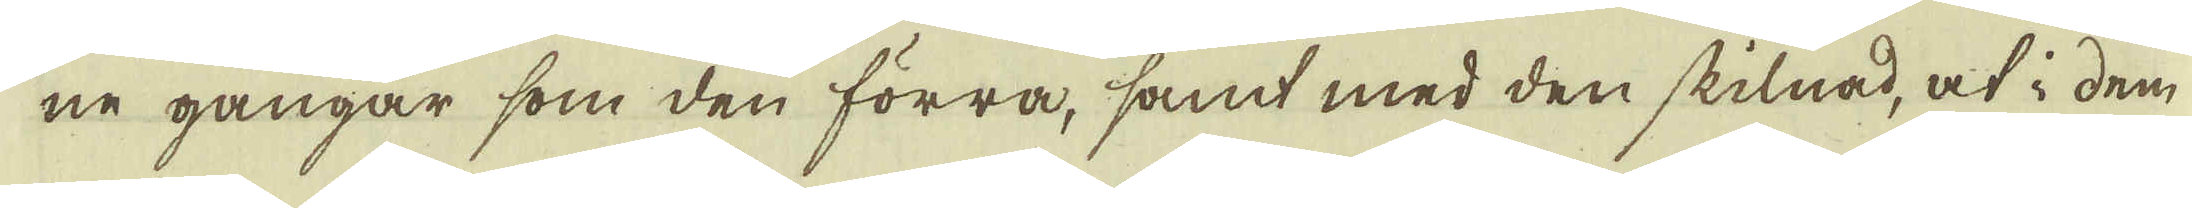ne gångar som den förra, samt med den skilnad, at i dem
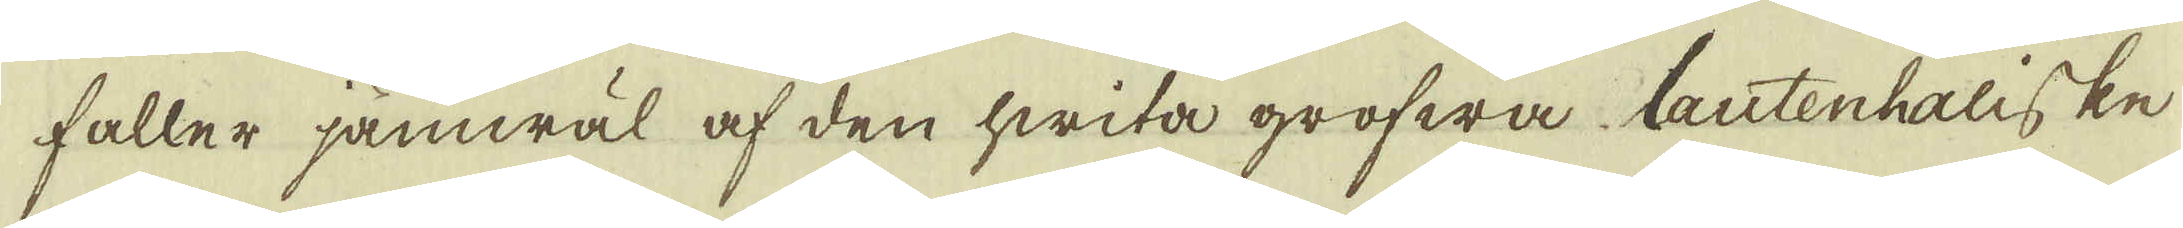faller jämwäl af den hwita grofwa Lautenhaliske
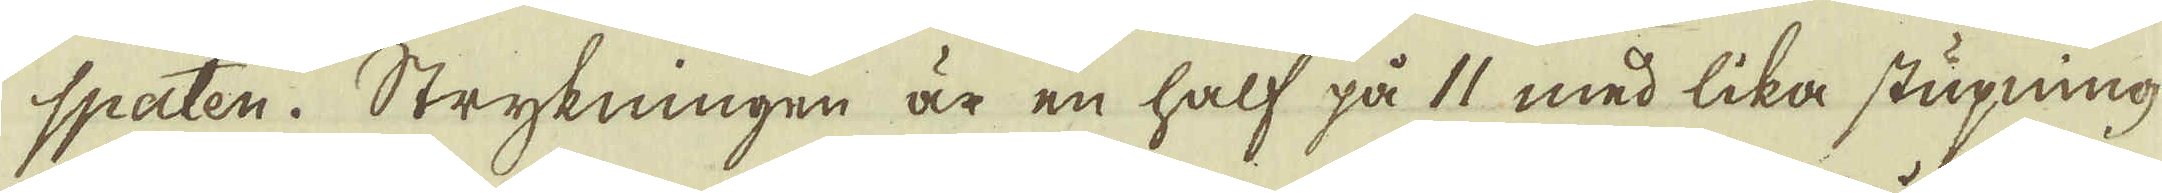spaten. Strykningen är en half på 11 med lika stupning
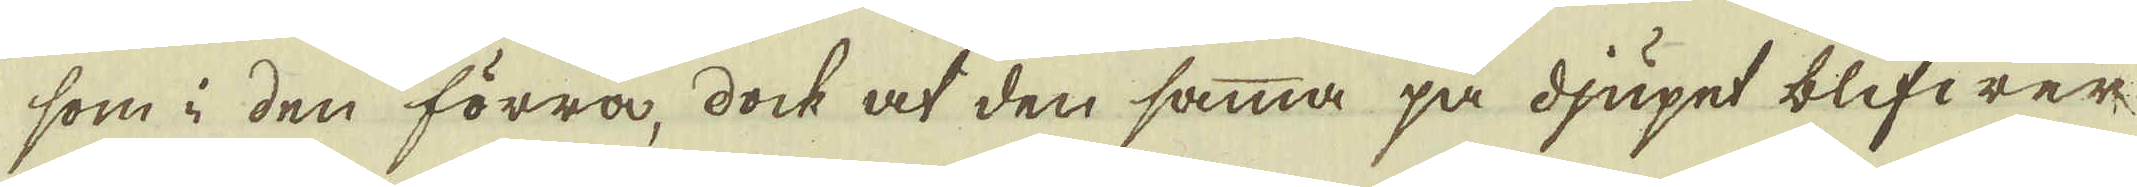som i den förra, dock at den samma på djupet blifwer
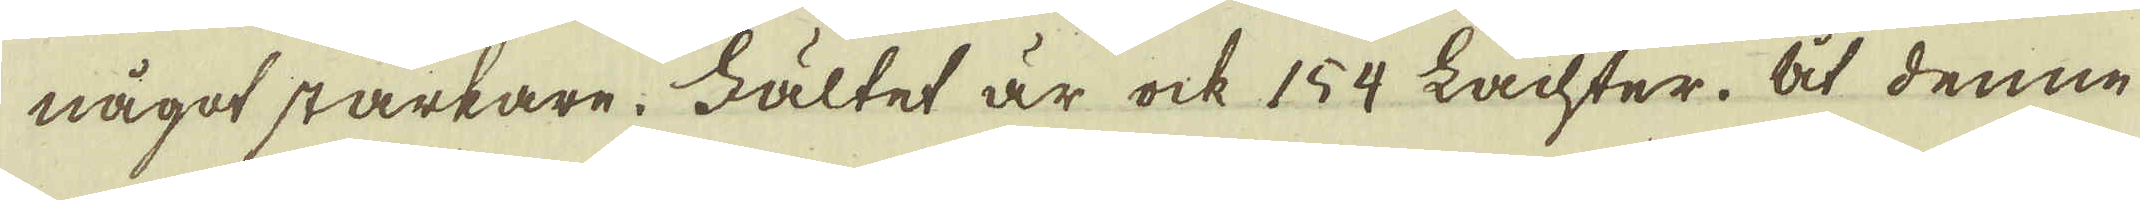något starkare. Fältet är ock 154 Lachter. At denne
